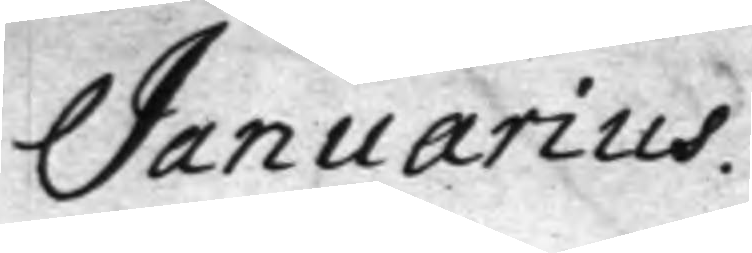Januarius
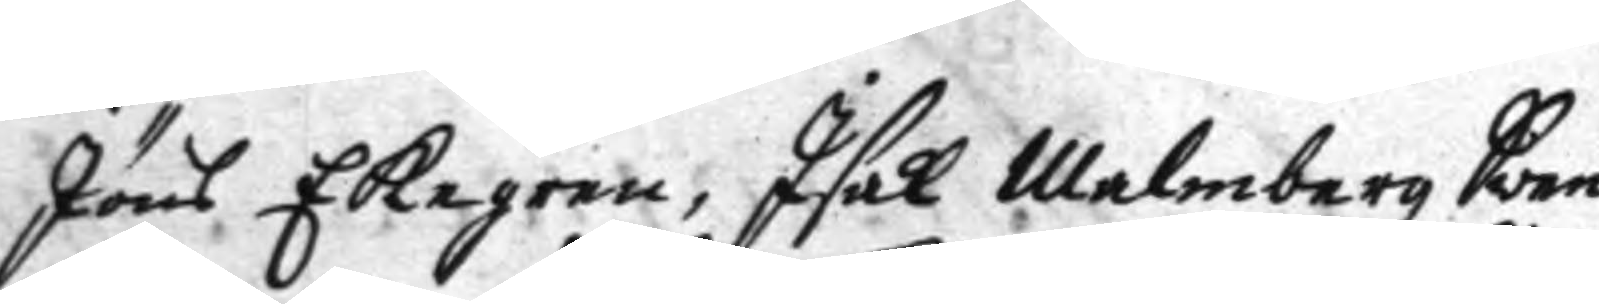Jöns Ekegren, Isak Malmberg Sven
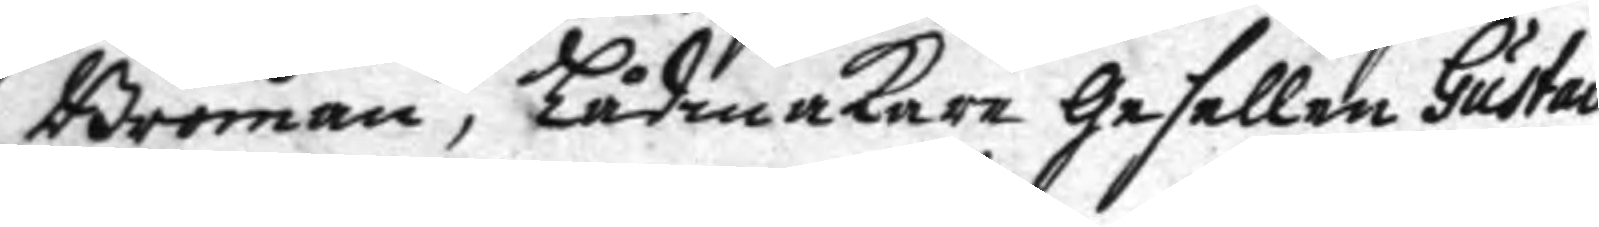Broman, Lådmakare gesellen Gustav
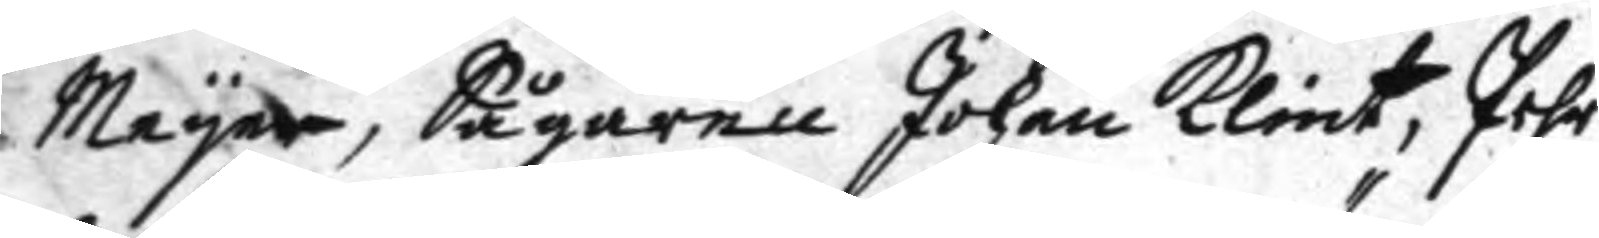Meyer, Sågaren Johan Klint, Pehr
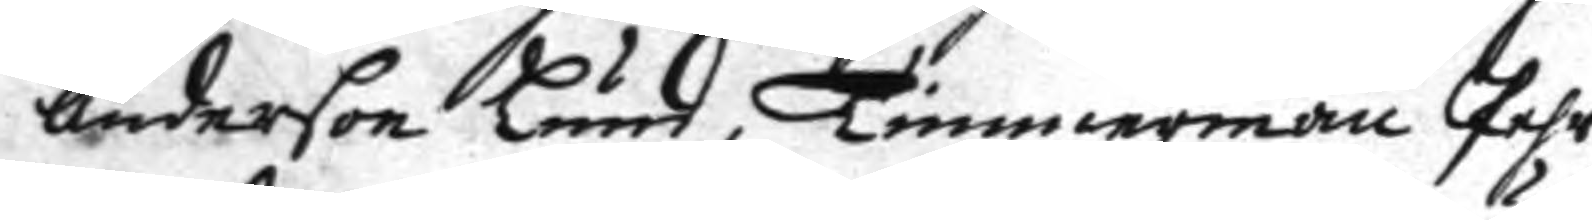anderson Lund, Timmermän Pehr
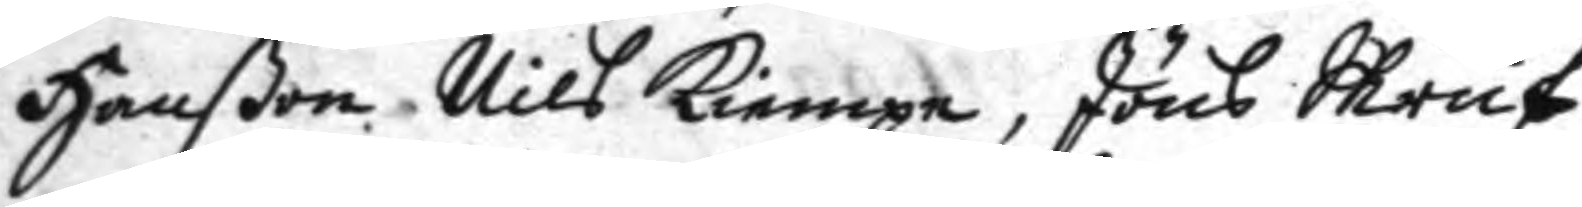Hanßon, Nils Kiempe, Jöns Skruf
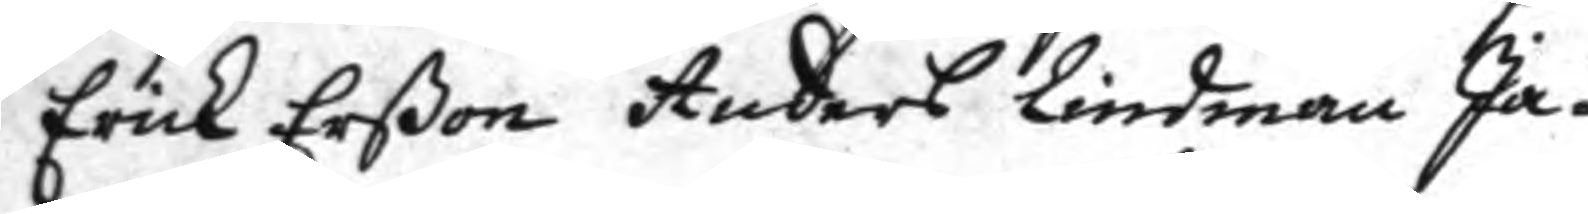Erick Erßon Anders Lindman Ja¬
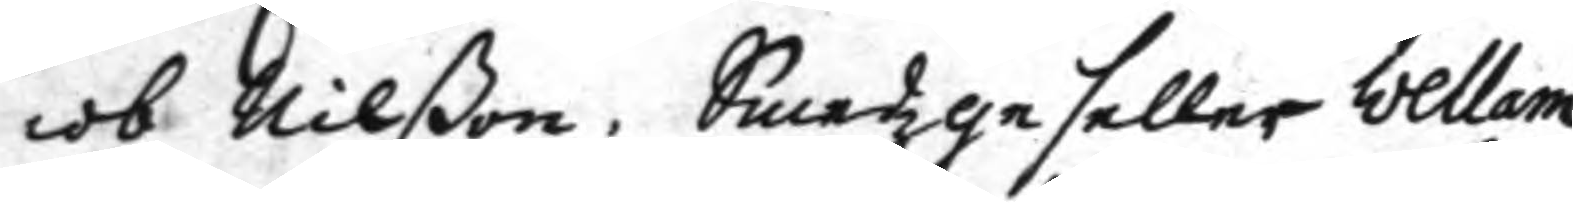cob Nilßon, Smedzgeseller Wellam
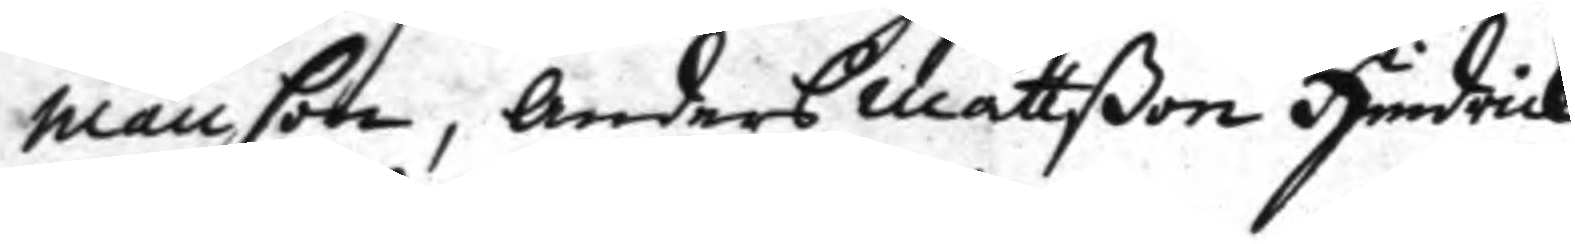Månson, Anders Mattßon Hindrick
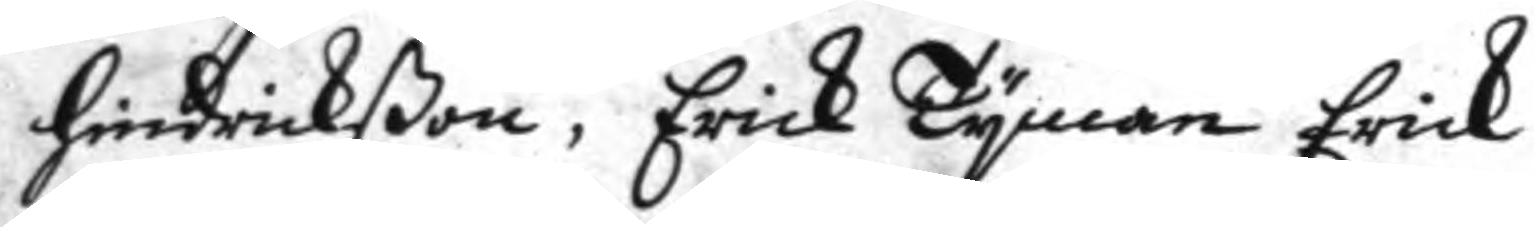Hindrickßon, Erick Tyman Erick
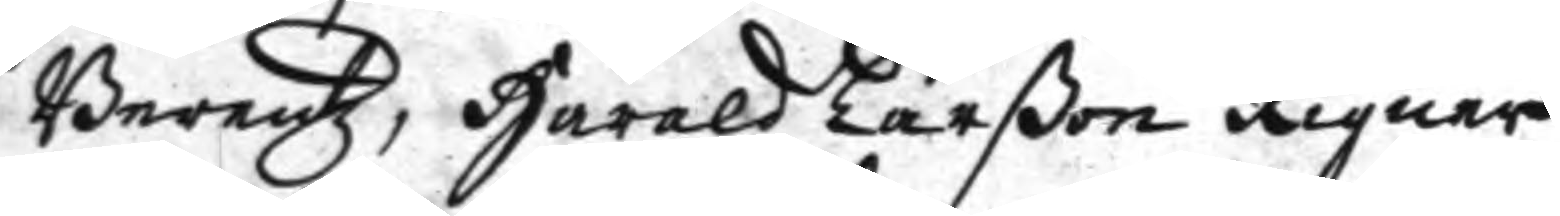Berentz, Harald Larßon Rigner
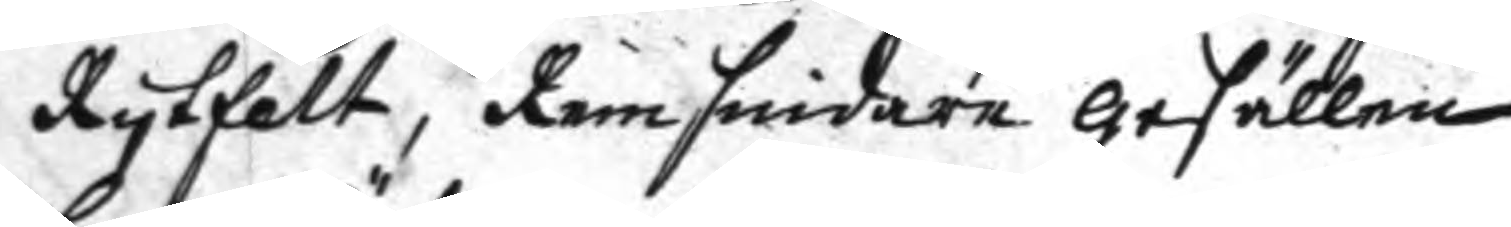Rytfelt, Remsmidare gesällen
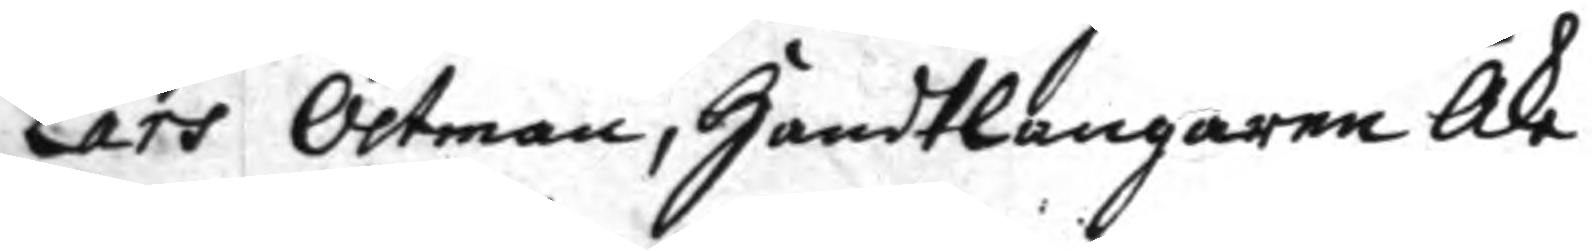Lars Östman, handtlangaren Åke
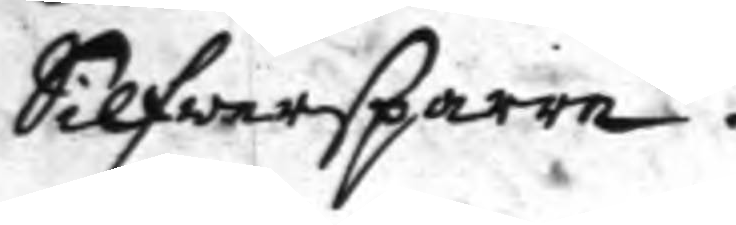Silfwersparre.
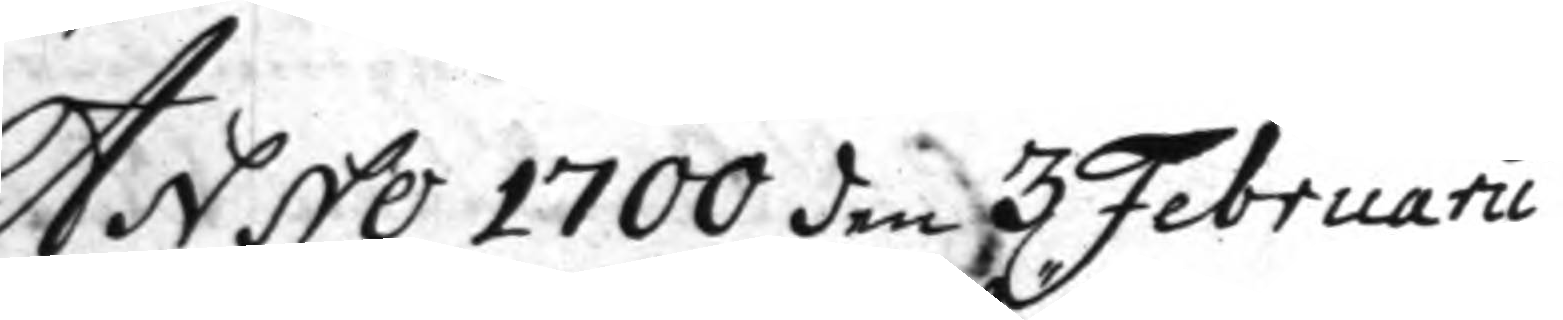Anno 1700 den 3 Februarii
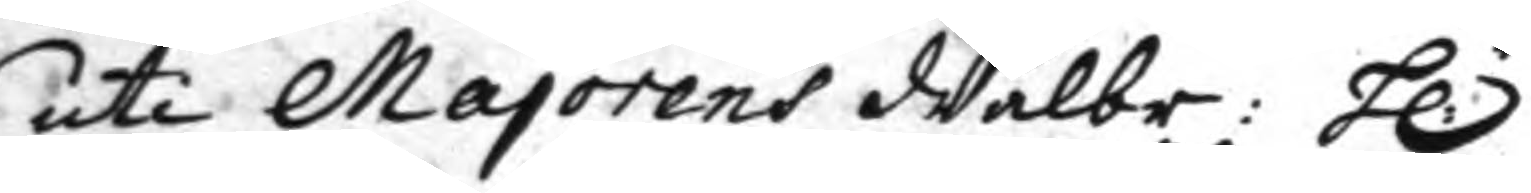uti Majorens Wälbr: h:r
